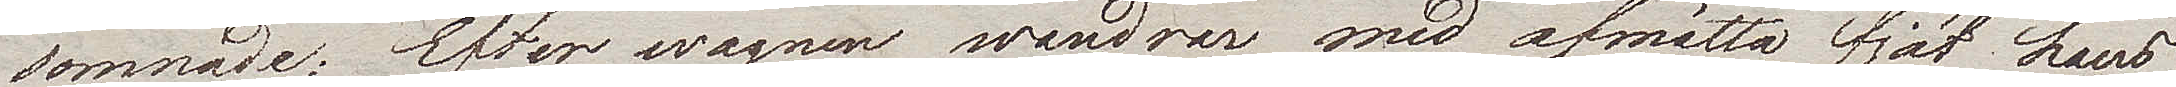somnade; Efter wagnen wandrar med afmätta fjät hans
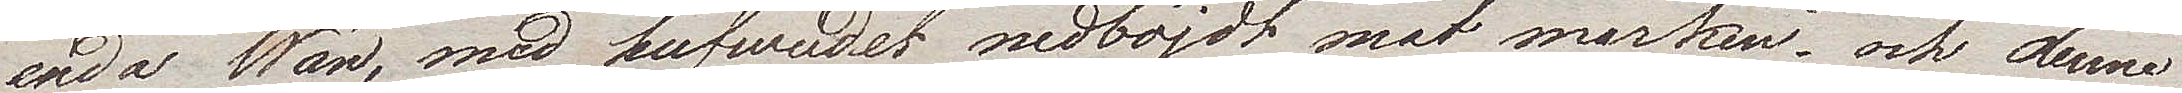enda Wän, med hufvudet nedböjt mot marken, och denne
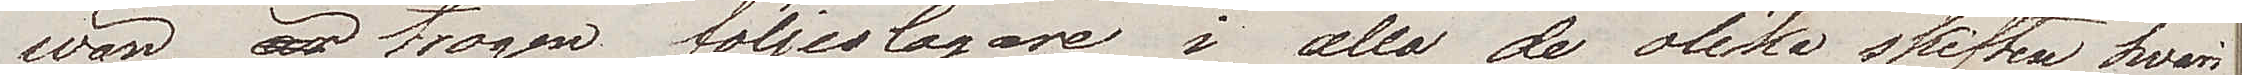wän, trogen följeslagare i alla de olika skiften hvari
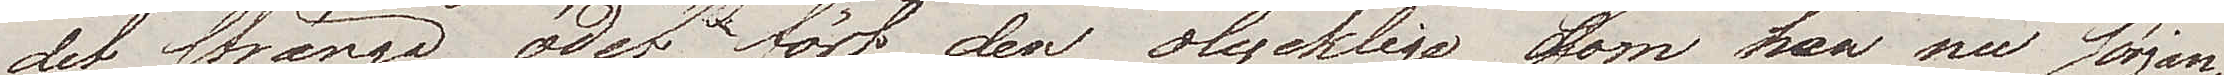det stränga ödet fört den olycklige, som han nu sörjan¬
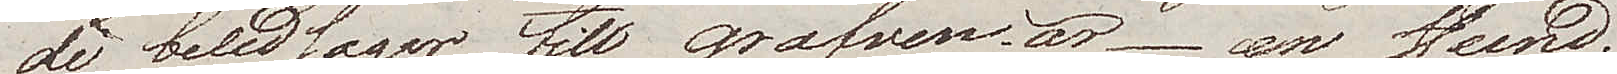de beledsagar till grafven, är – en Hund.
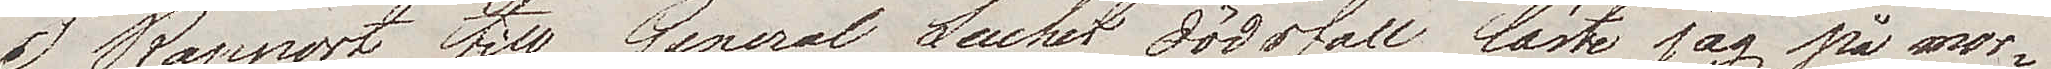I Rapport till General Suchet dödsfall läste jag på
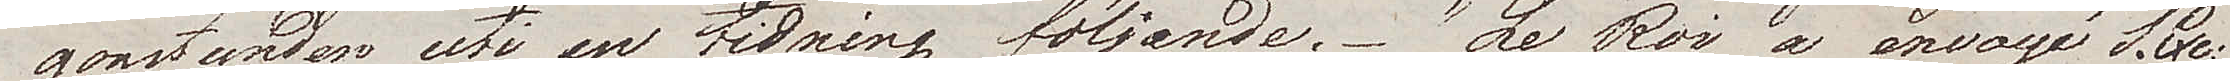morgonstunden uti en tidning följande. "Le Roi a envoyé S.haut.
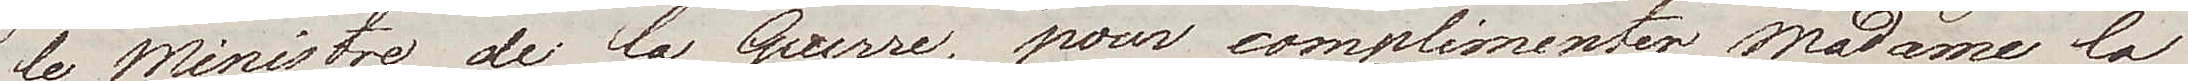le Ministre de la Guerre, pour complimenter Madame la
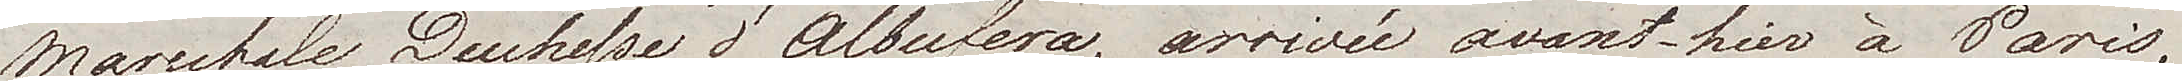Marechale, Duchesse d'Albufera, arrivée avant-hier à Paris,
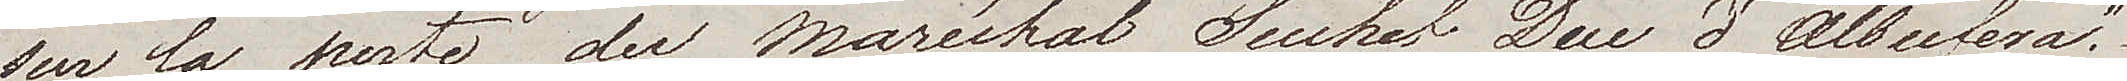sur la perte du Maréchal Suchet Duc d'Albufera".
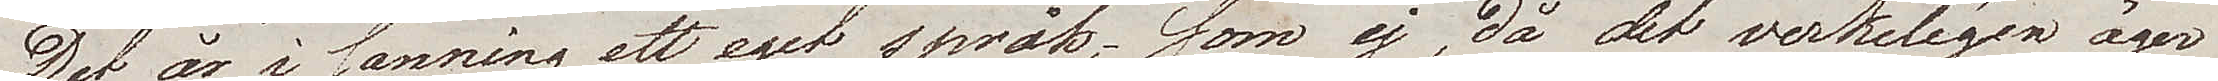Det är i sanning ett eget språk, som ej, då det verkligen äger
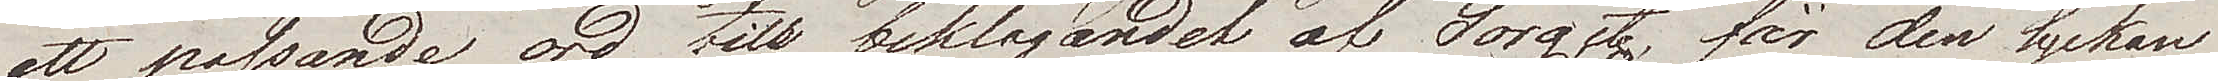ett passande ord till beklagandet af Sorg etc, för den lyckan
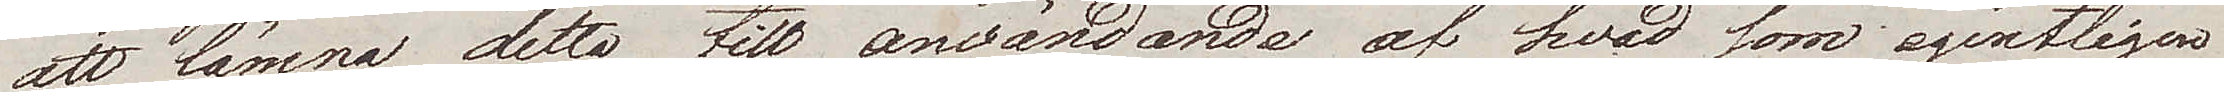att lämna detta till användande af hvad som egentligen
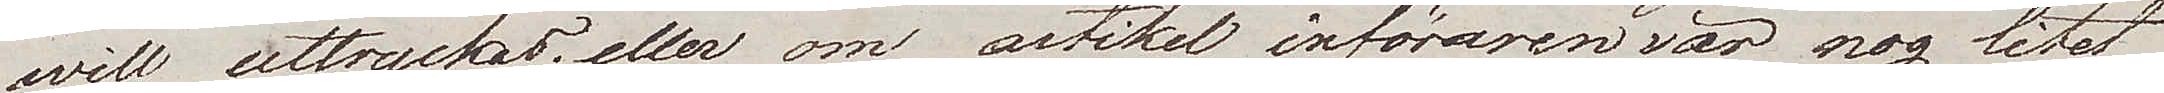will uttryckas; eller om artikel införaren var nog litet
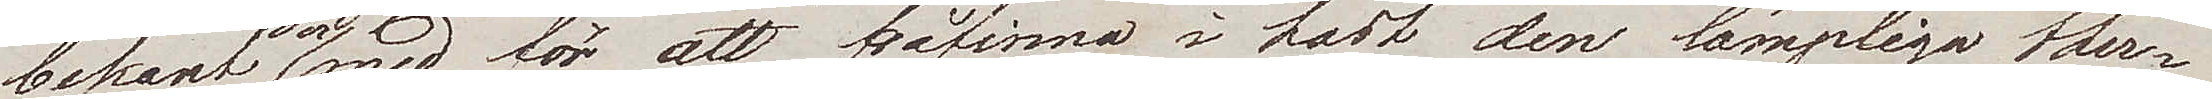bekant dermed, för att påfinna i hast den lämpliga ther¬
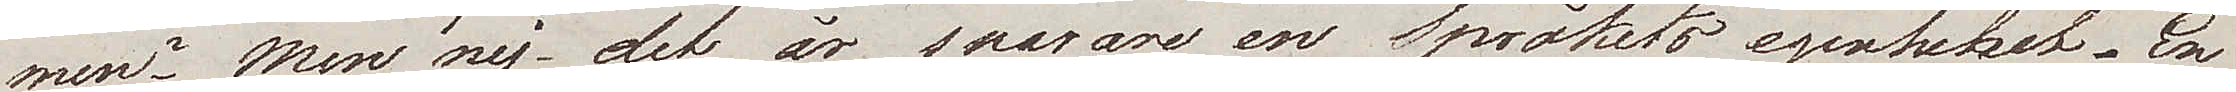men? Men nej, det är snarare en Språkets egenhet. En
